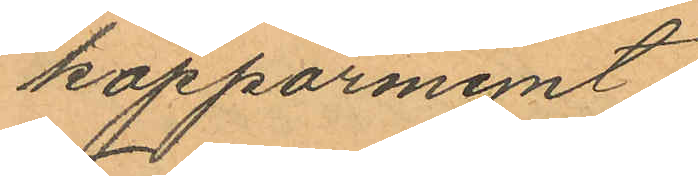kopparmynt.
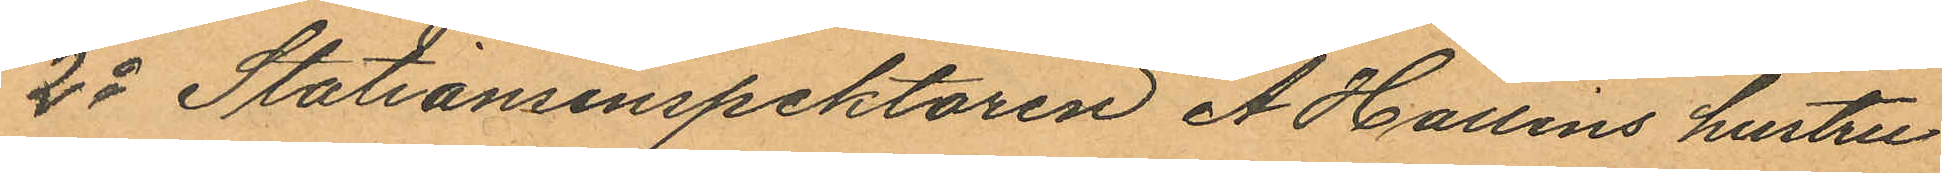2o Stationsinspektoren A Hallins hustru
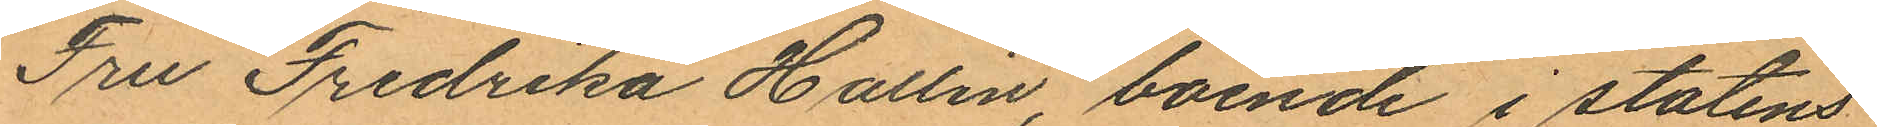Fru Fredrika Hallin, boende i statens
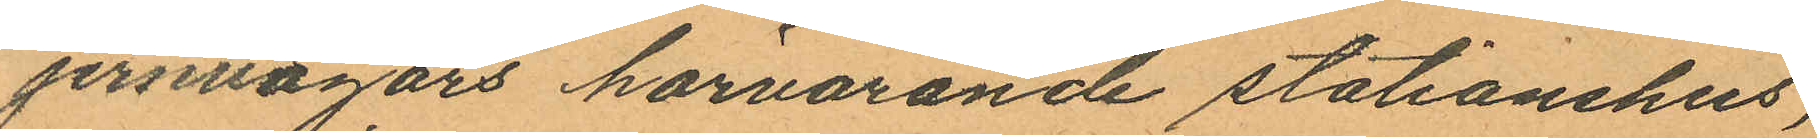jernvägars härvarande stationshus,
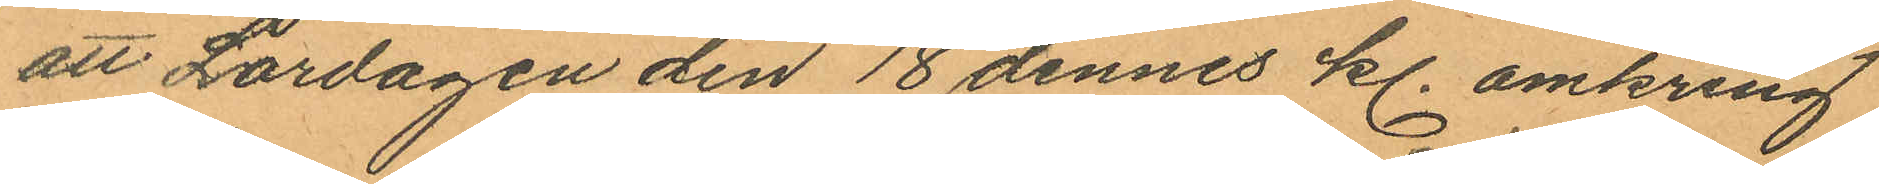att Lördagen den 18 dennes kl. omkring
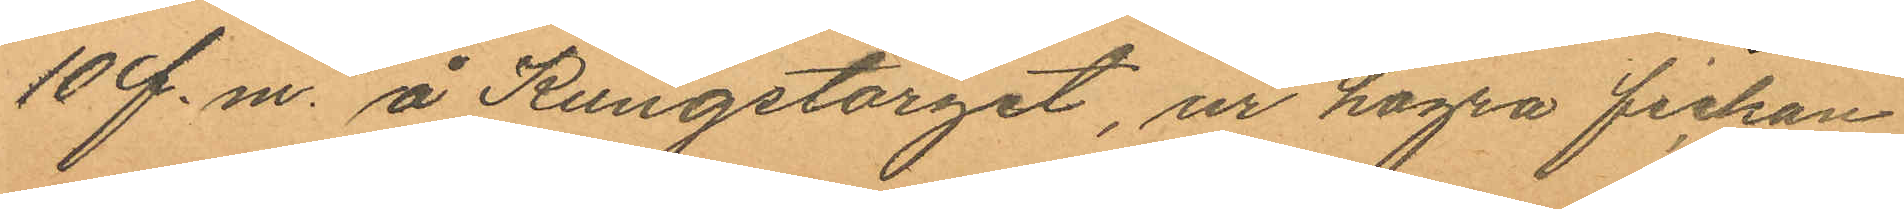10 f. m. å Kungstorget, ur högra fickan
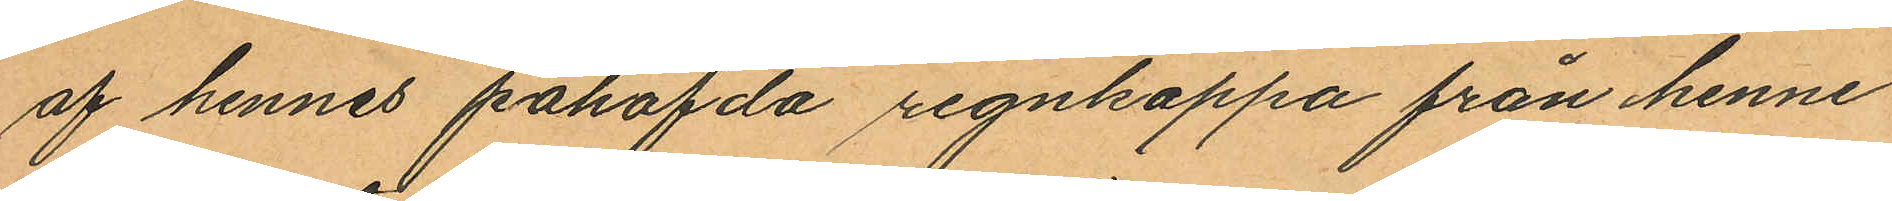af hennes påhafvda regnkappa från henne
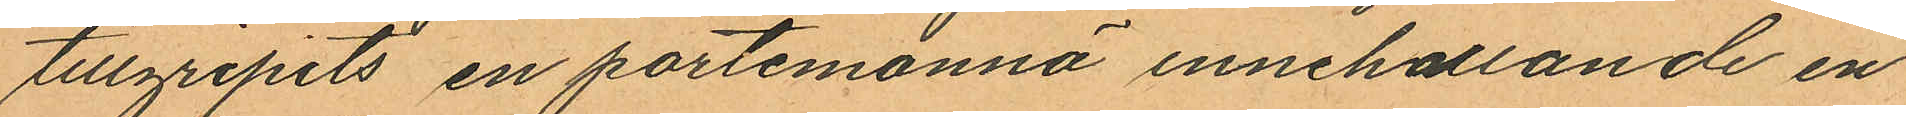tillgripits en portemonnä innehållande en
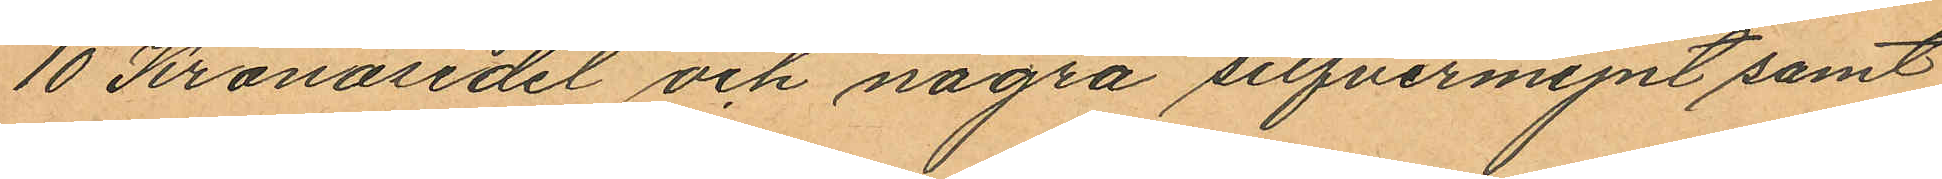10 Kronosedel och några silfvermynt samt
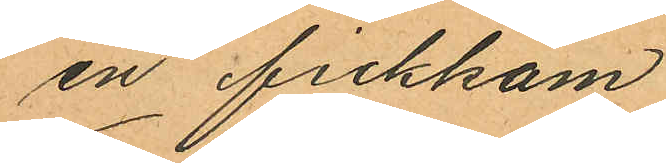en fickkam
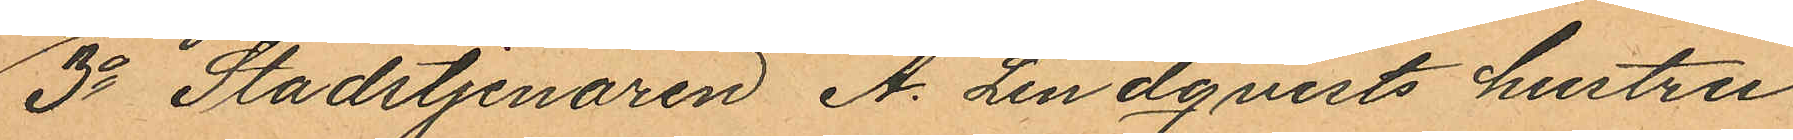3o Stadstjenaren A. Lindqvists hustru
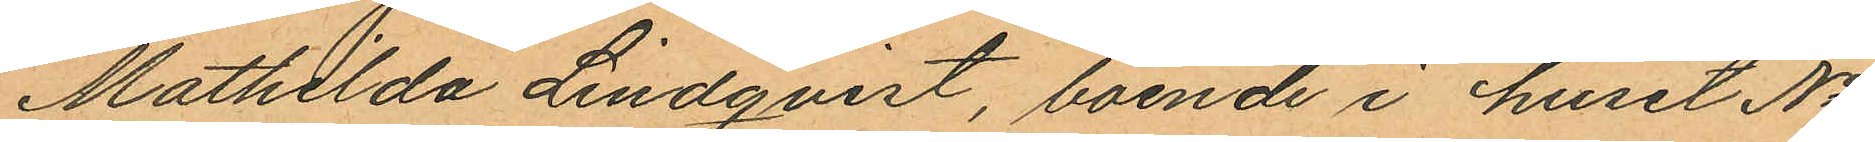Mathilda Lindqvist, boende i huset No
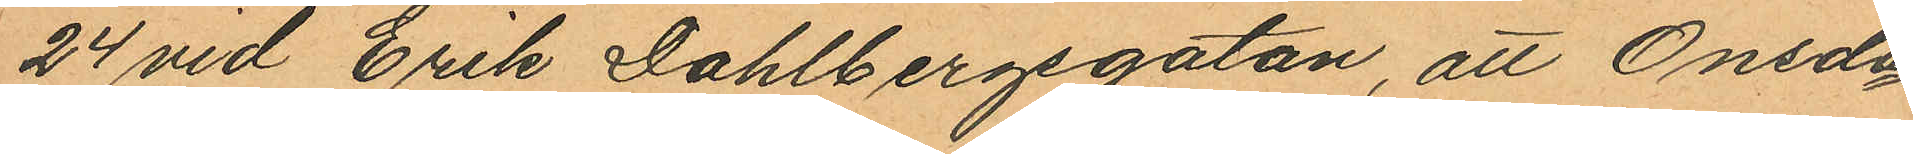24 vid Erik Dahlbergsgatan, att Onsda¬
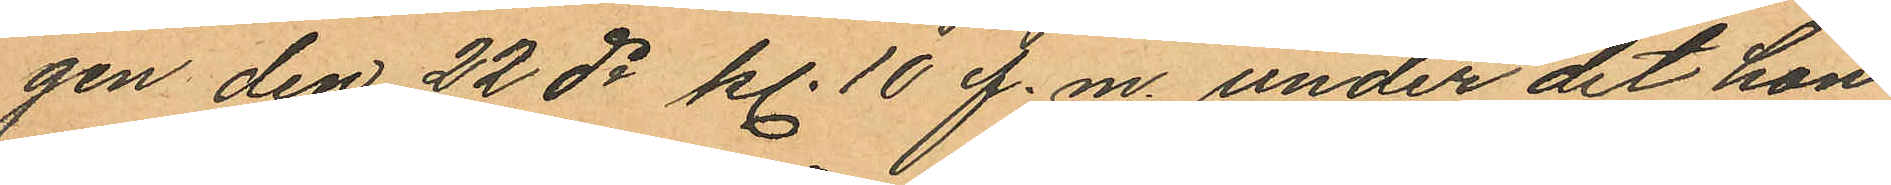gen den 22 ds kl. 10 f.m. under det hon
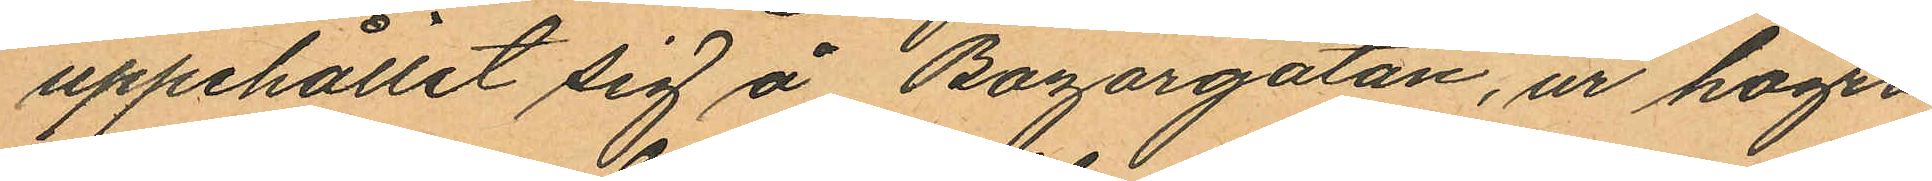uppehållit sig å Bazargatan, ur högra
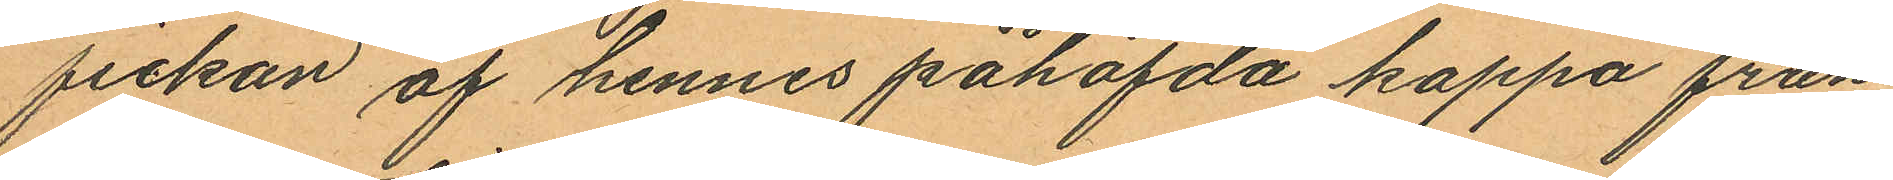fickan af hennes påhafda kappa från
